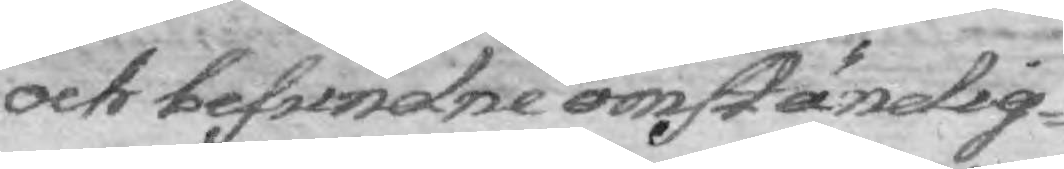och befundne omständig¬
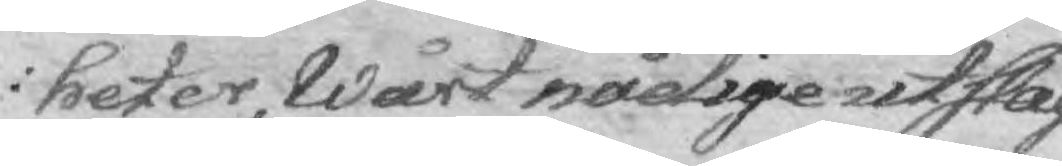heter, Wårt nådige utslag
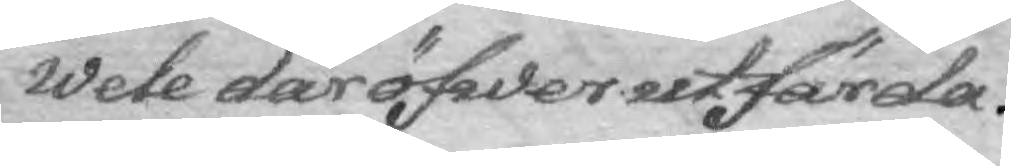wele där öfwer utfärda.
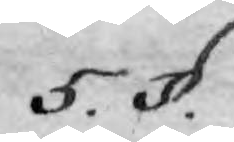5. §.
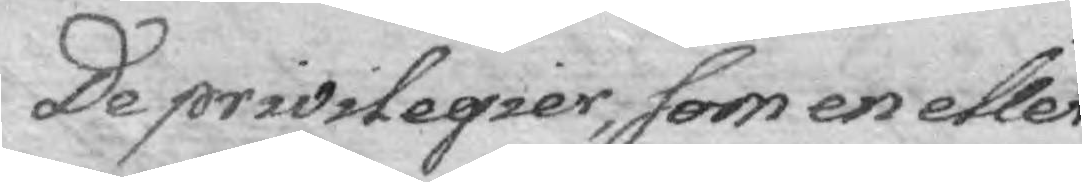De privilegier, som en eller
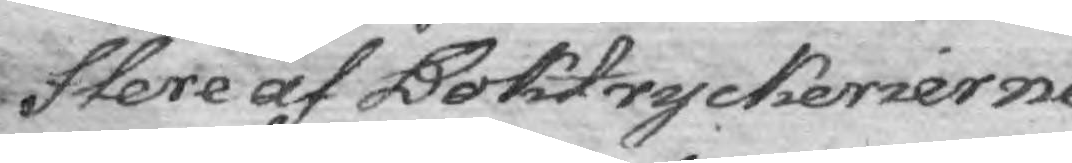flere af Boktryckerierne
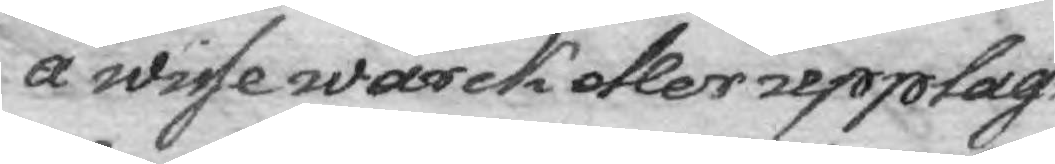å wisse wärck eller upplags
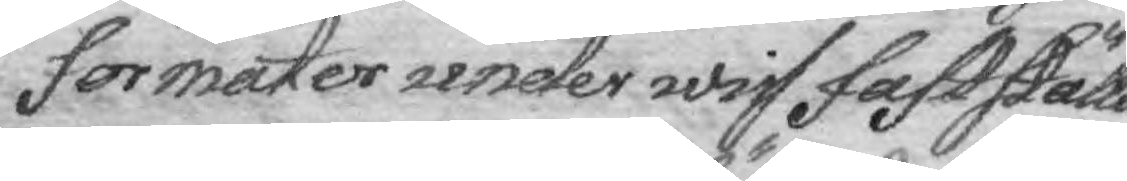formater under wiss fastställd
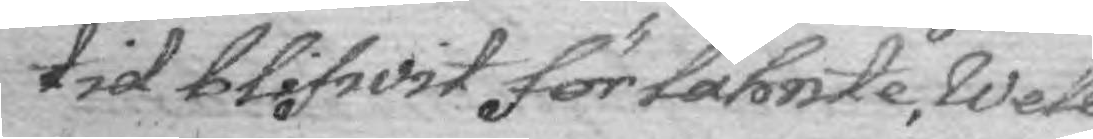tid blifwit för lähnte, wele
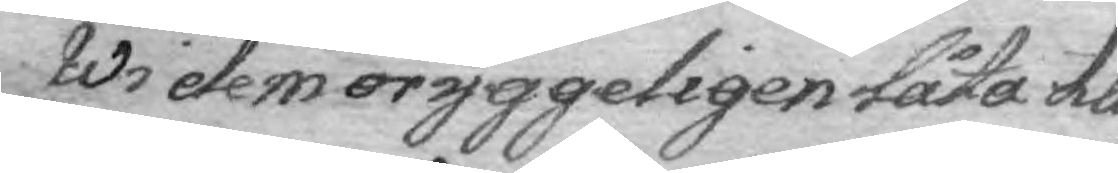Wi dem oryggeligen låta till
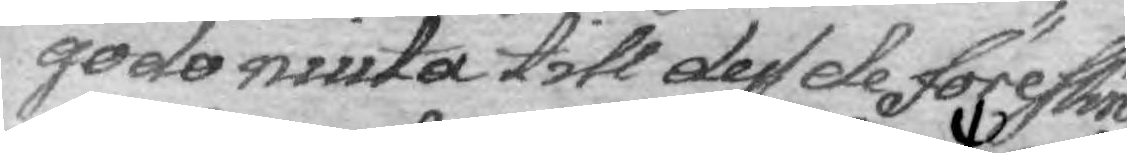godo niuta till dess de föreskrif¬
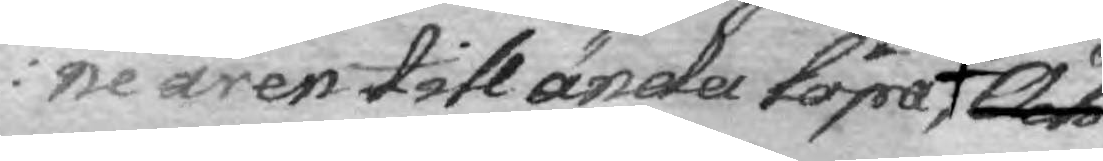ne åren till ända löpa, Och
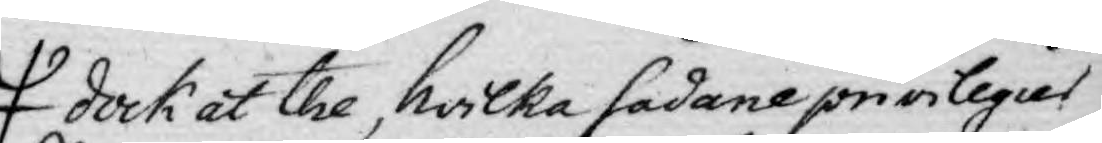dock at the hwilka sådane privilegies
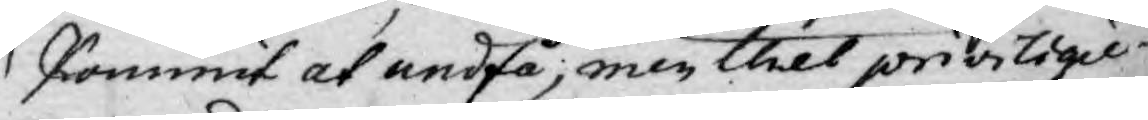kommit at undfå, men thet priviligie¬
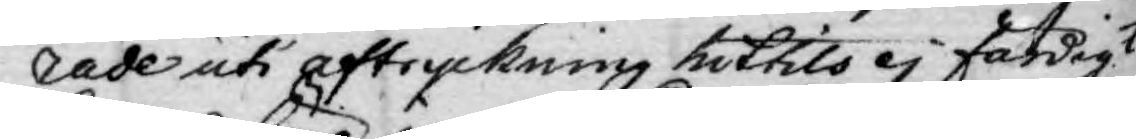rade uti aftryckning hittills ej färdigt
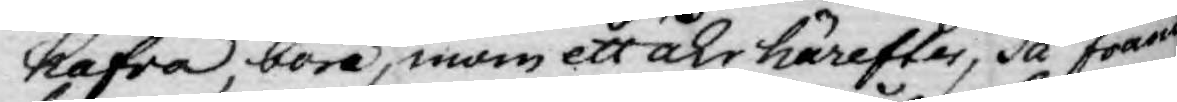hafva böra, inom ett åhr härefter, då fram
